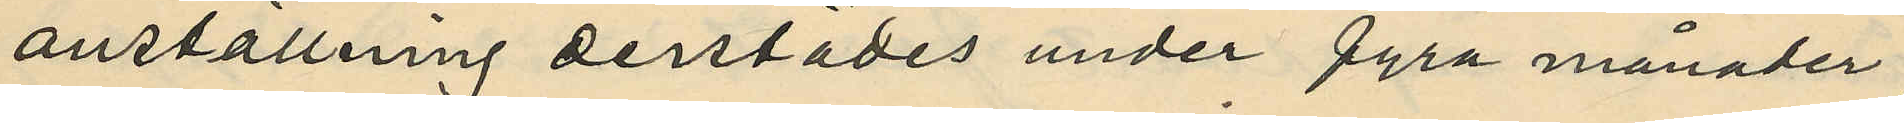anställning derstädes under fyra månader,
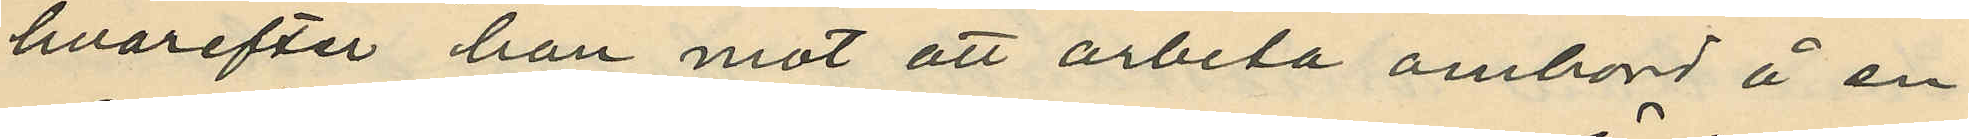hvarefter han mot att arbeta ombord å en
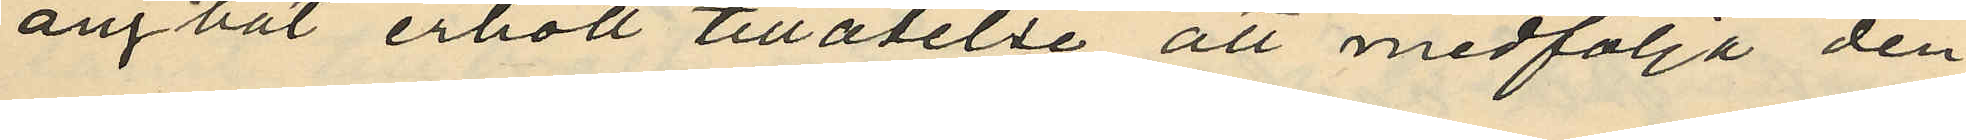ångbåt erhöll tillåtelse att medfölja den¬
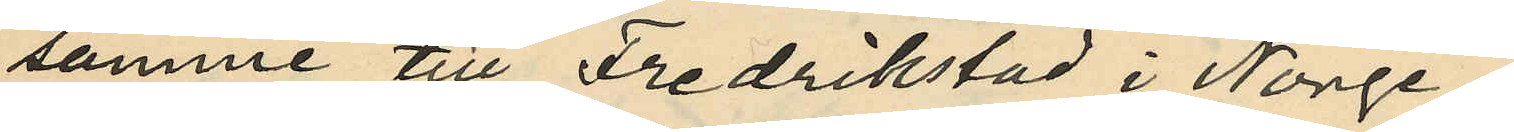samme till Fredrikstad i Norge;
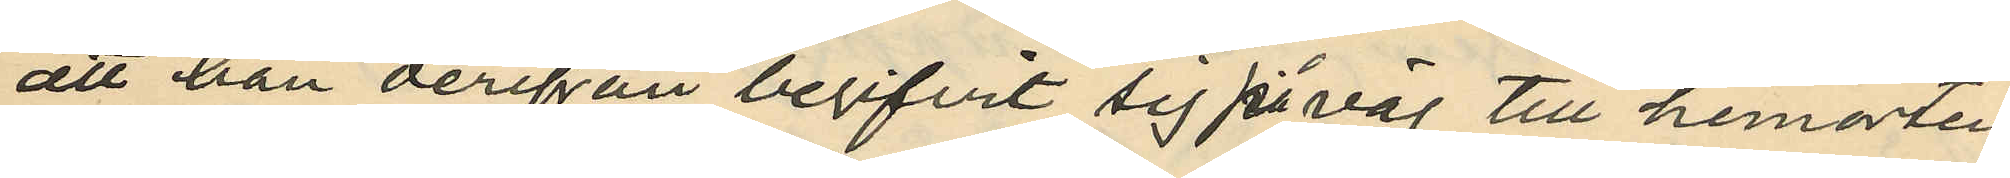att han derifån begifvit sig på väg till hemorten,
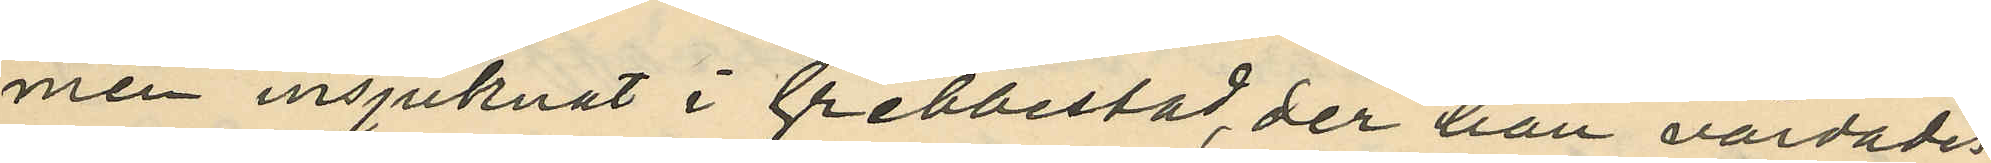men insjuknat i Grebbestad, der han vårdades
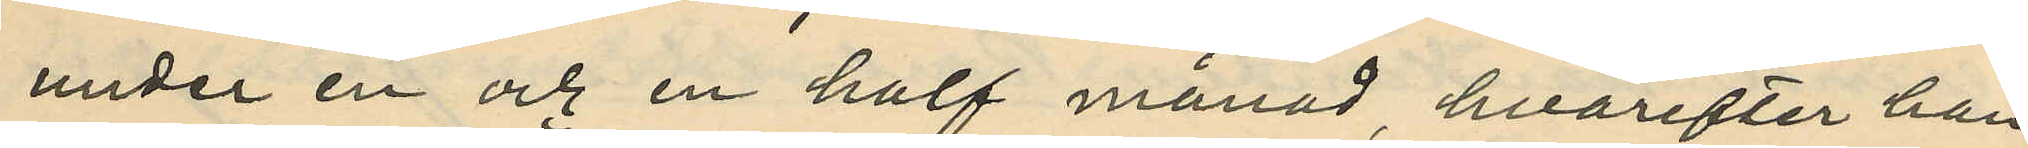under en och en half månad, hvarefter han
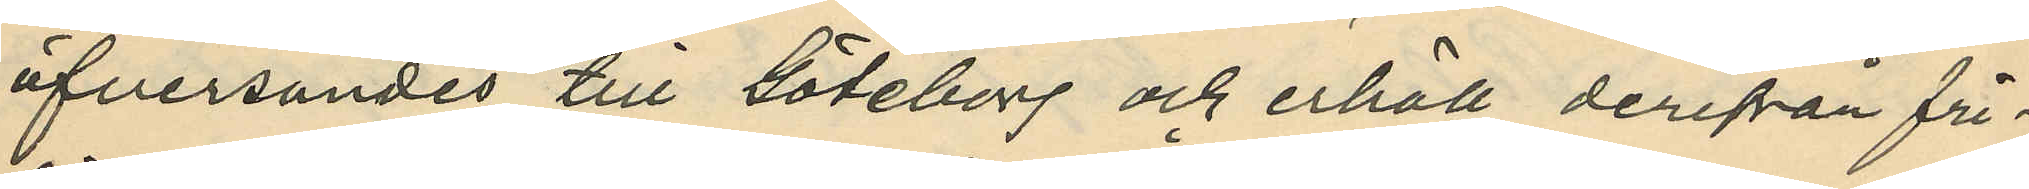öfversändes till Göteborg och erhöll derifrån fri¬
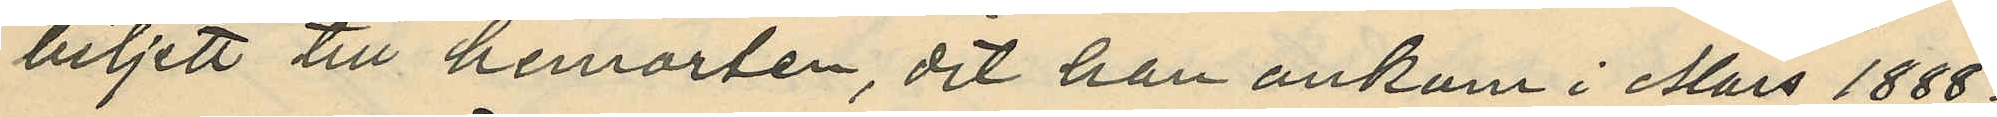biljett till hemorten, dit han ankom i Mars 1888;
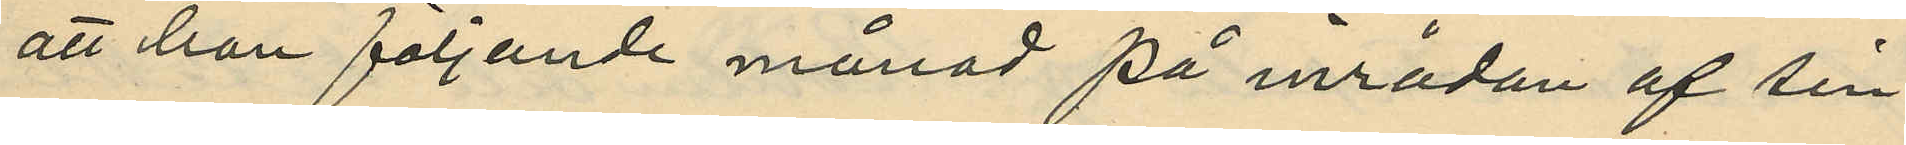att han följande månad på inrådan af sin
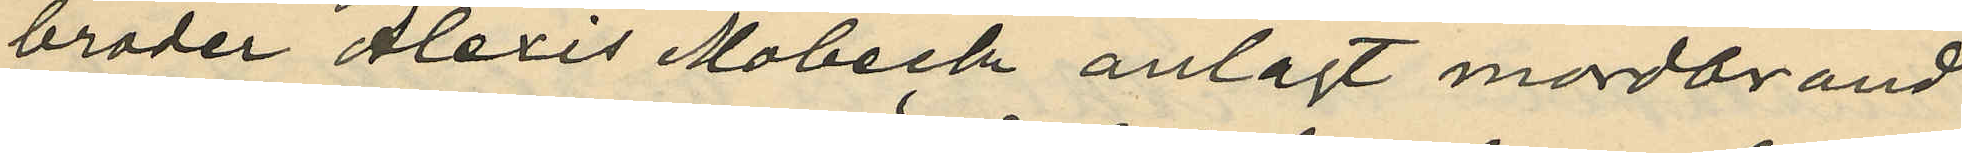broder Alexis Mobeck anlagt mordbrand
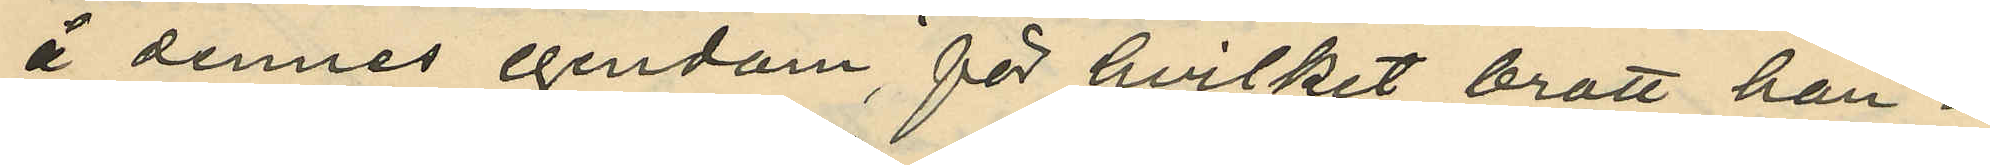å dennes egendom, för hvilket brott han i
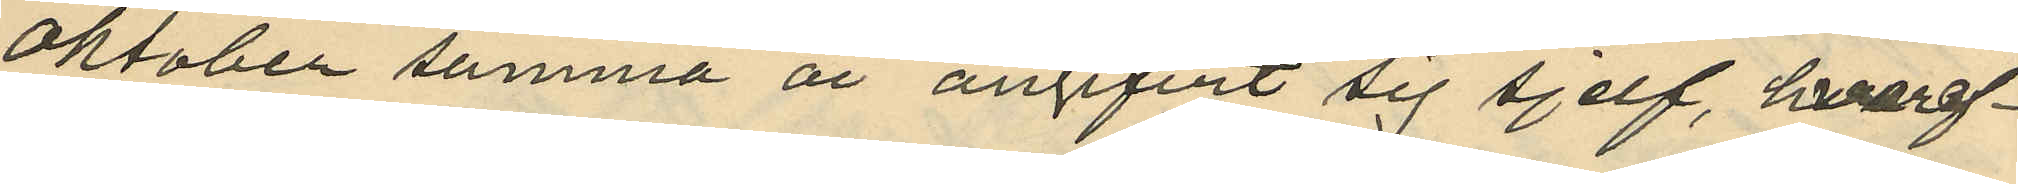Oktober samma år angifvit sig sjelf, hvaref¬
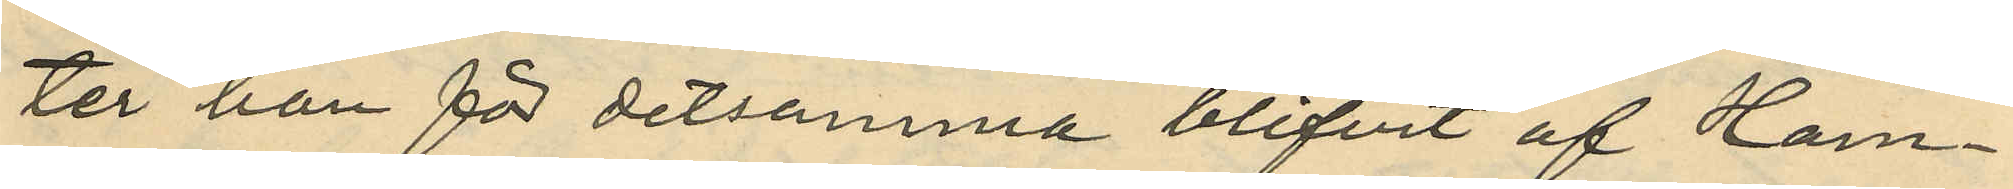ter han för detsamma blifvit af Ham¬
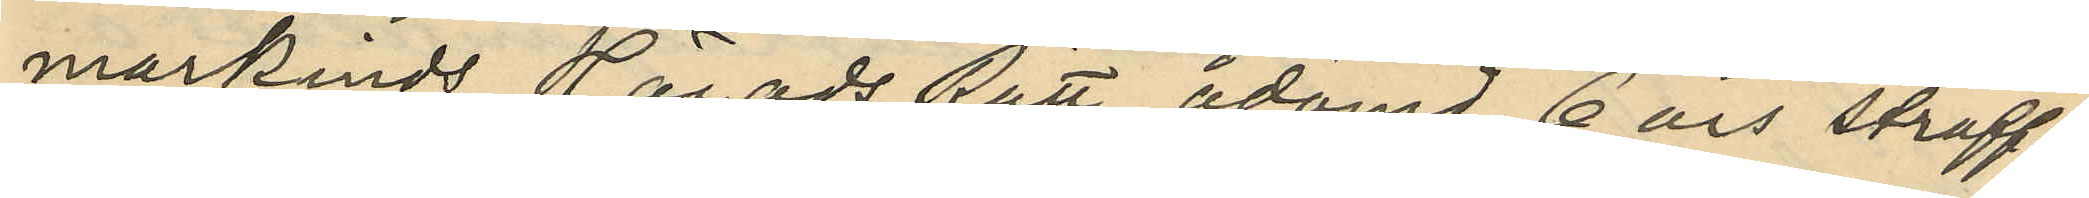markinds Härads Rätt ådömd 6 års straff¬
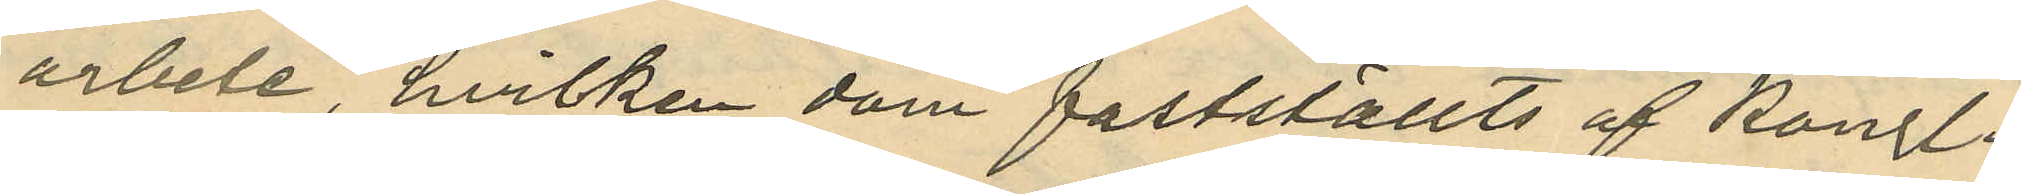arbete, hvilken dom fastställts af Kongl.
